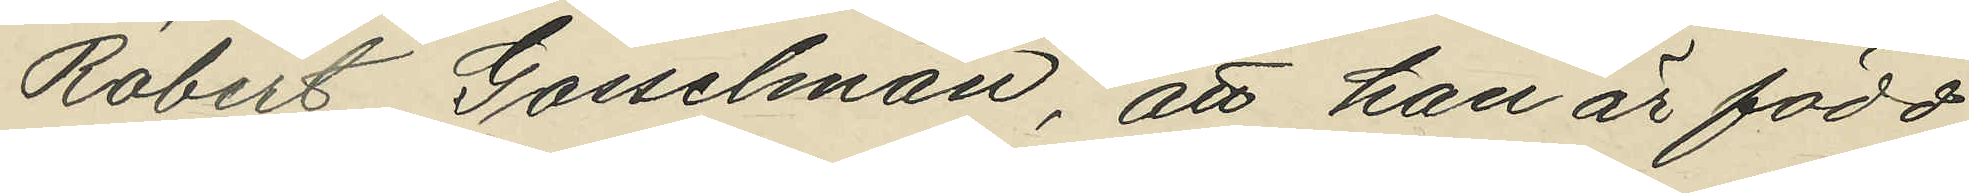Robert Gosselman, att han är född
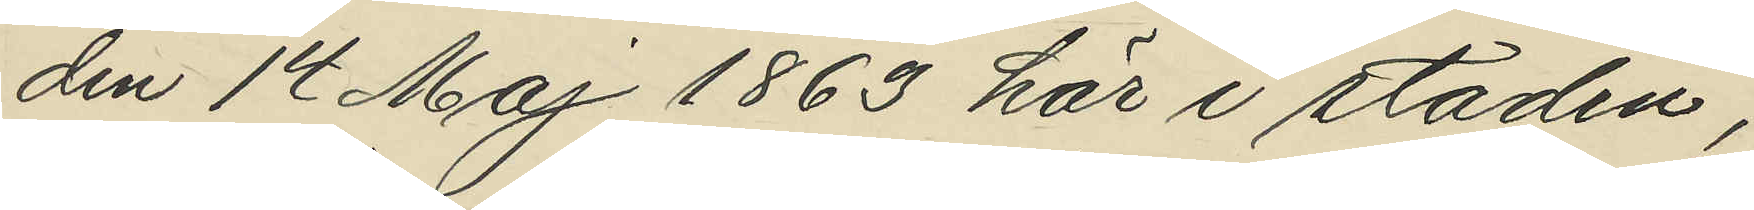den 14 Maj 1863 här i staden;
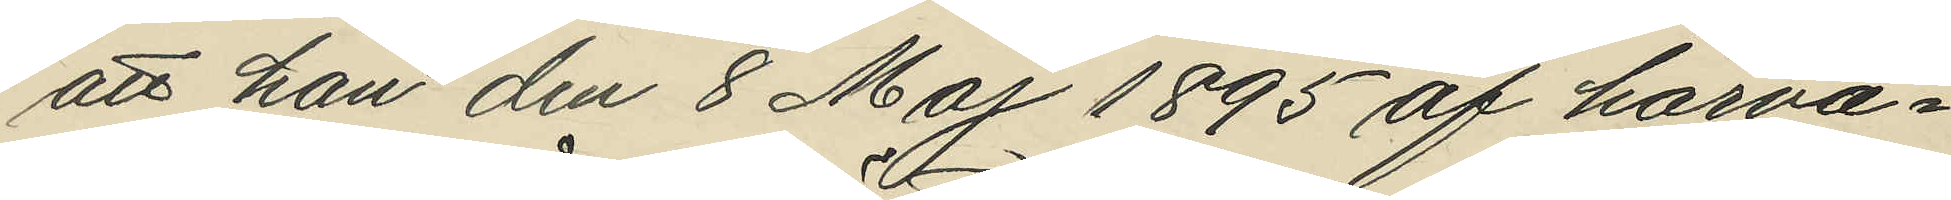att han den 8 Maj 1895 af härva¬
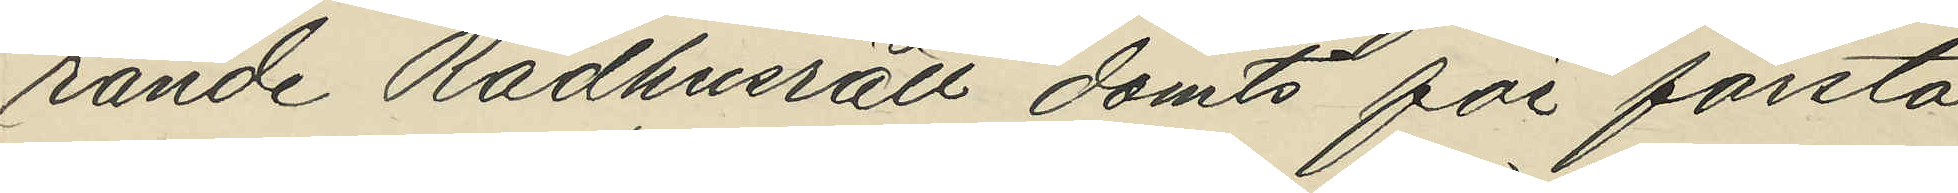rande Rådhusrätt dömts för första
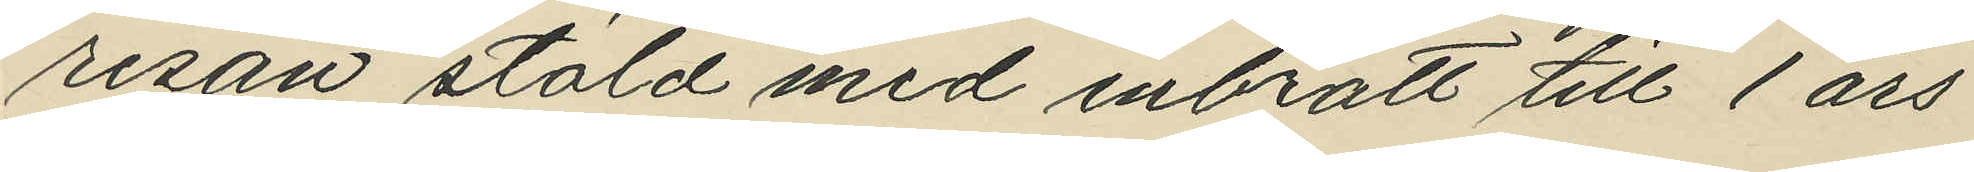resan stöld med inbrott till 1 års
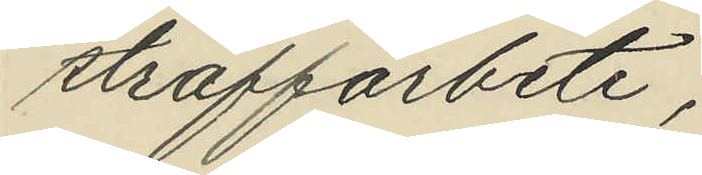straffarbete;
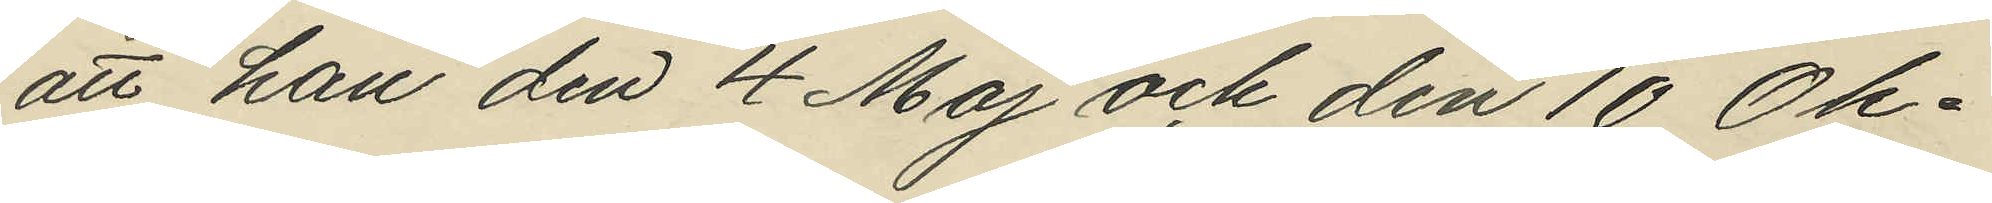att han den 4 Maj och den 10 Ok¬
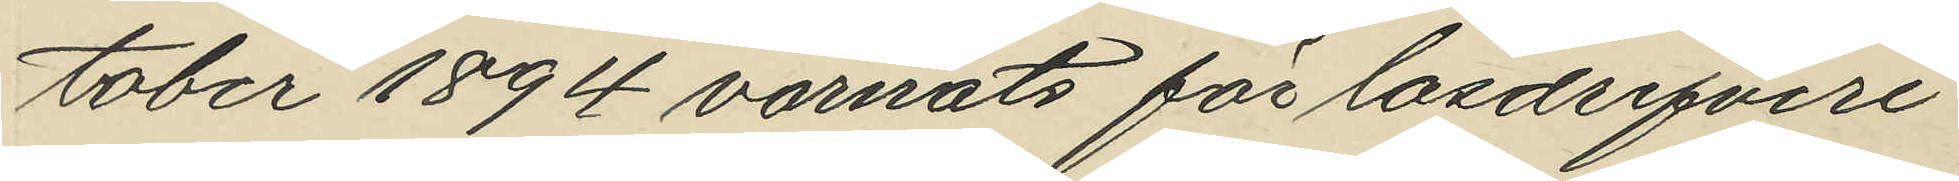tober 1894 varnats för lösdrifveri
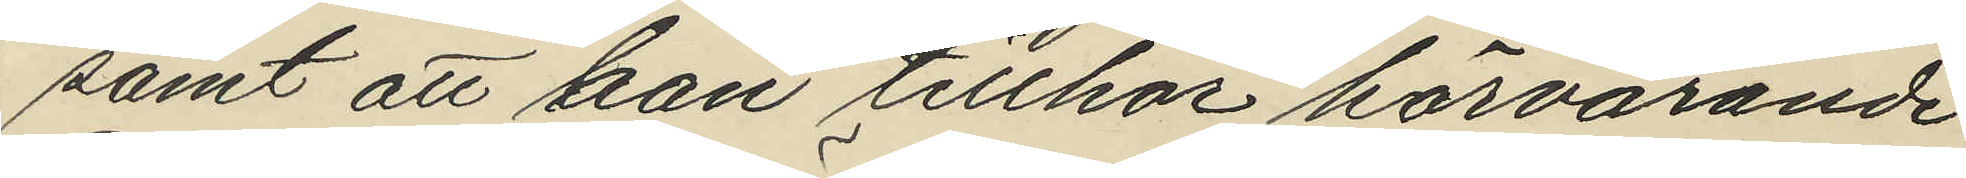samt att han tillhör härvarande
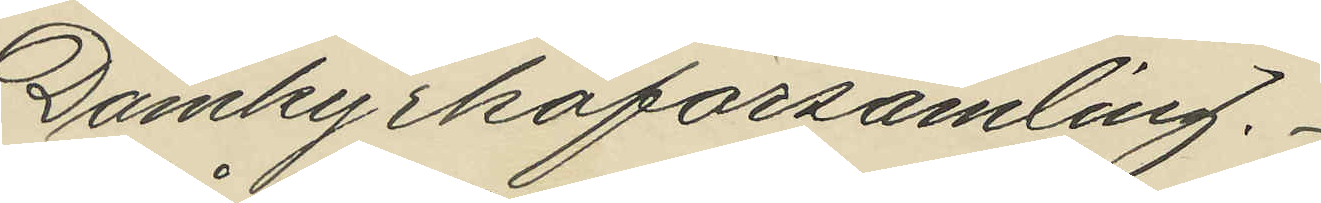Domkyrkoförsamling.
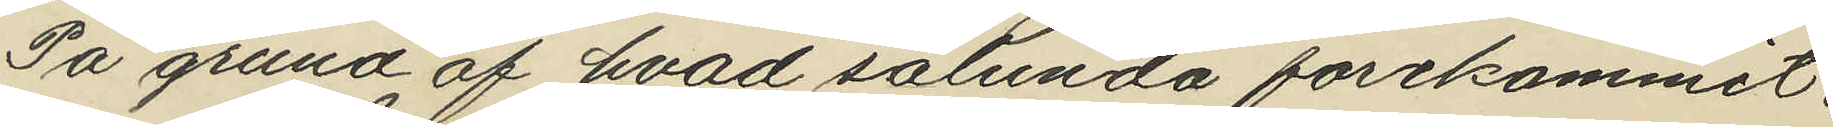På grund af hvad sålunda förekommit,
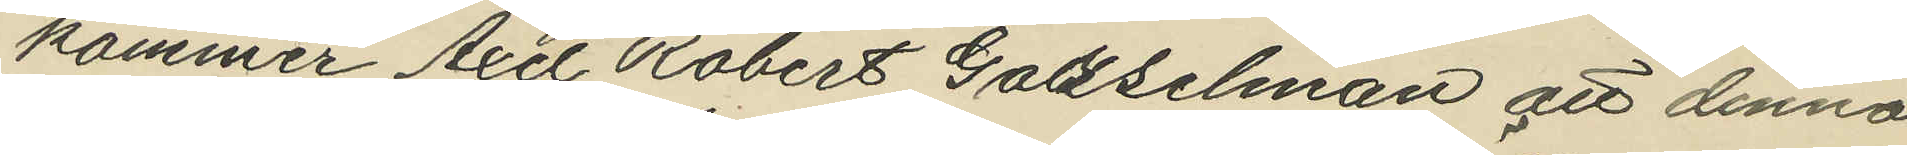kommer Axel Robert Gosselman att denna
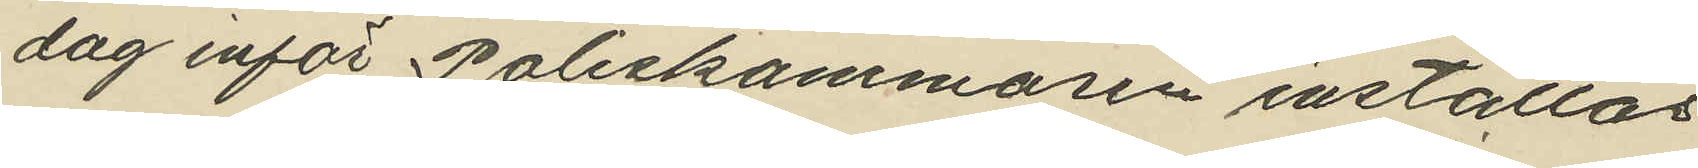dag inför Poliskammaren inställas.
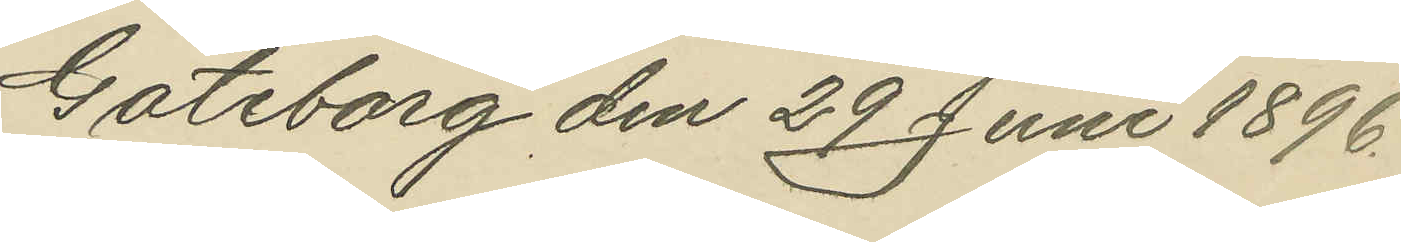Göteborg den 29 Juni 1896.
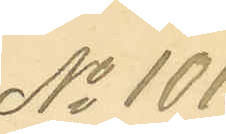No 101.
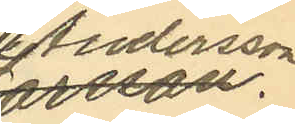Andersson
